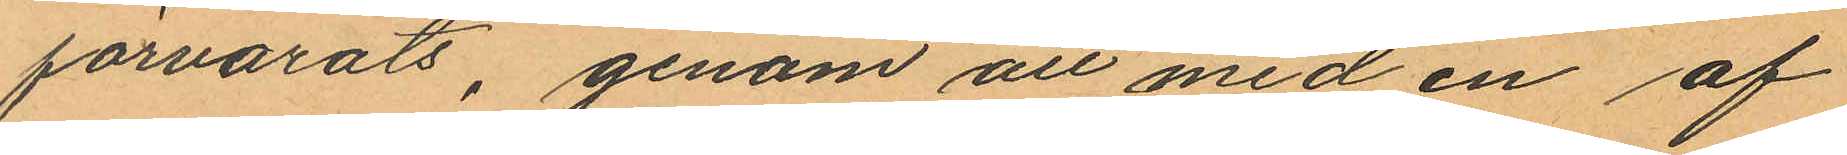förvarats, genom att med en af
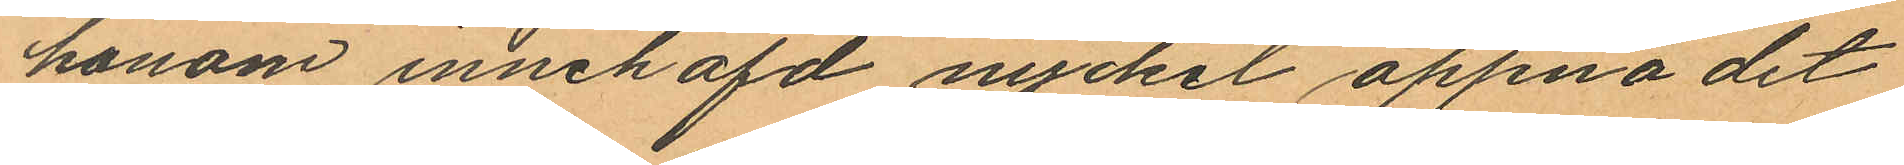honom innehafd nyckel öppna det
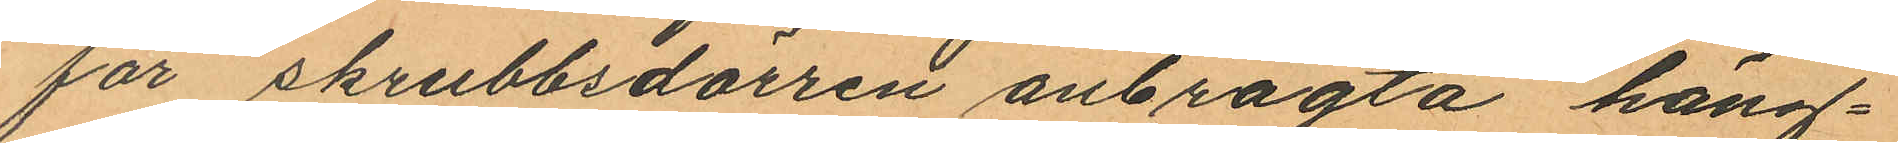för skrubbsdörren anbragta häng¬
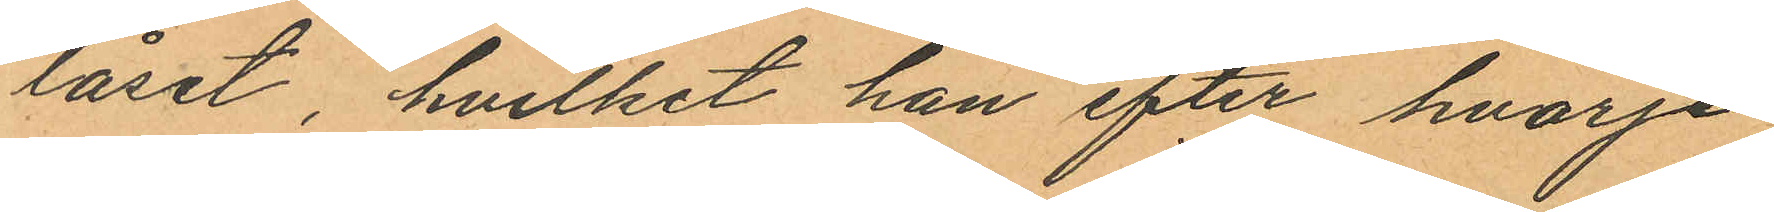låset, hvilket han efter hvarje
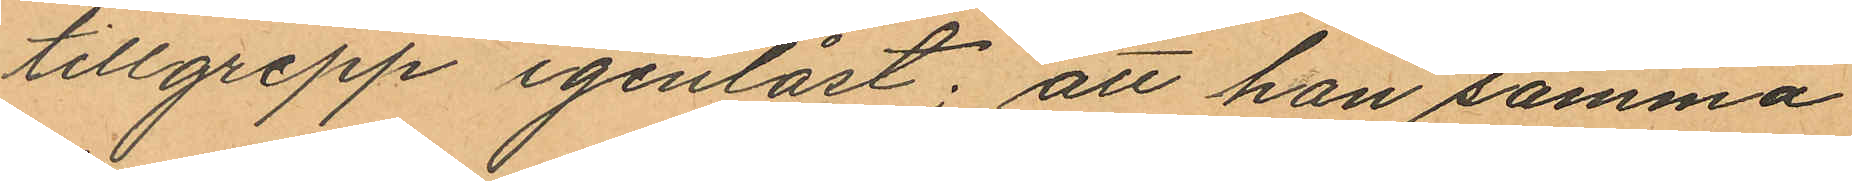tillgrepp igenlåst; att han samma
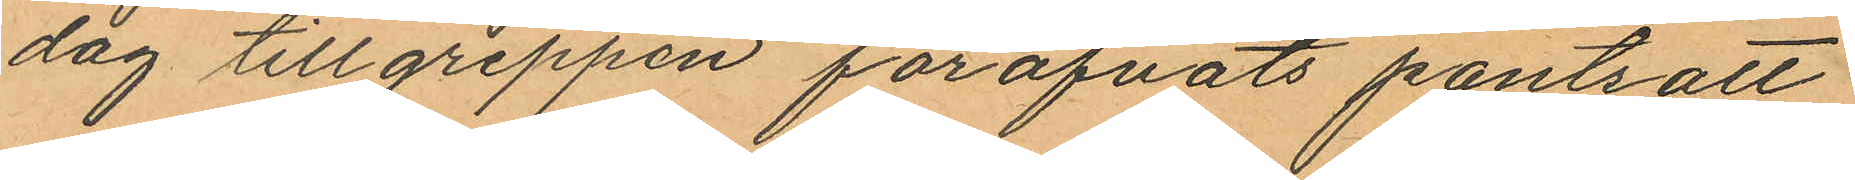dag tillgreppen föröfvats pantsatt
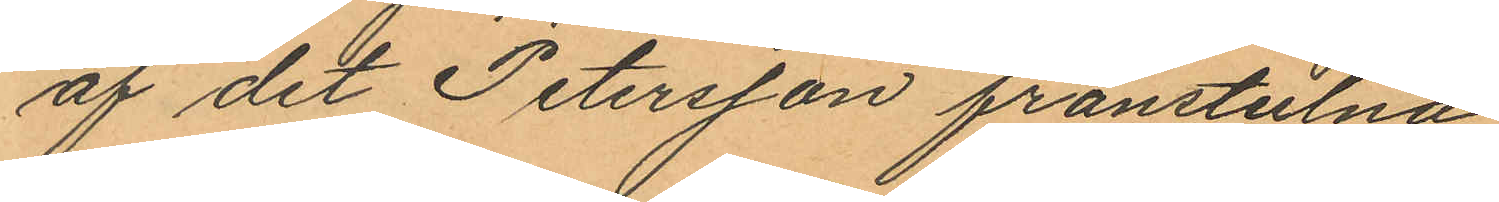af det Petersson frånstulna
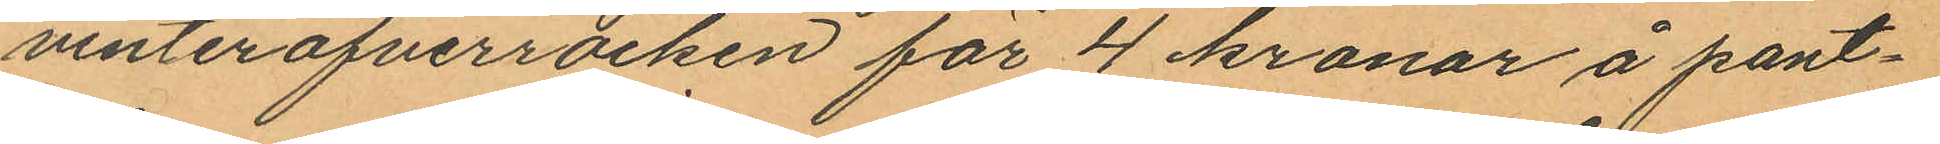vinteröfverrocken för 4 kronor å pant¬
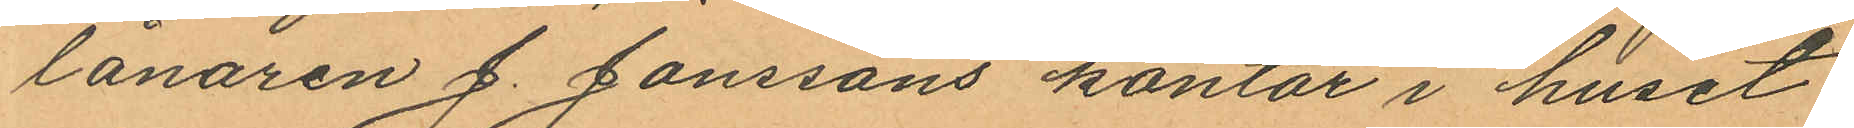lånaren J. Jonssons kontor i huset
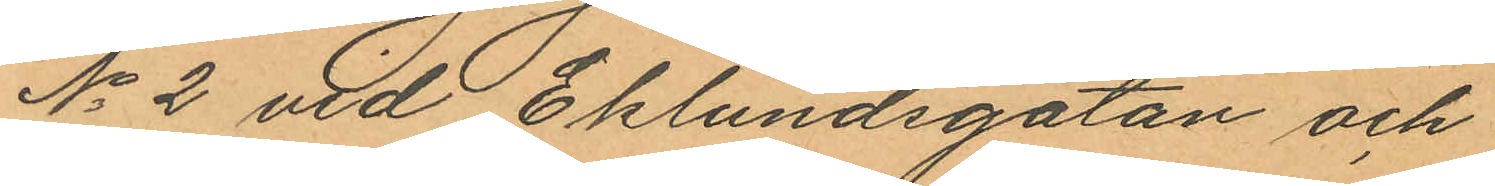No 2 vid Eklundsgatan och
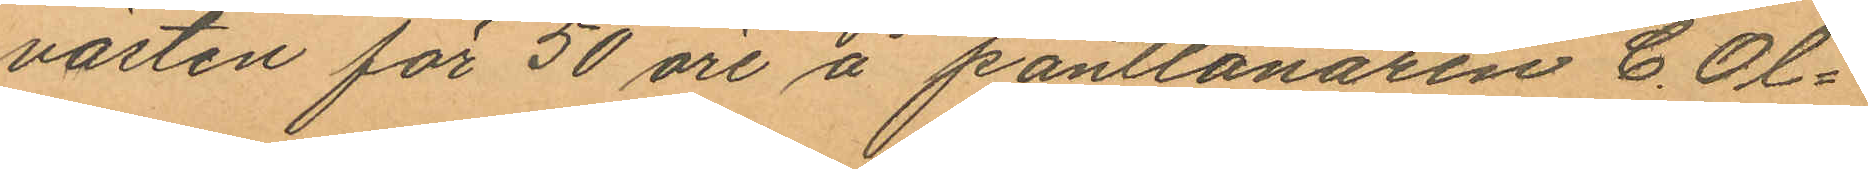västen för 50 öre å pantlånaren C. Ol¬
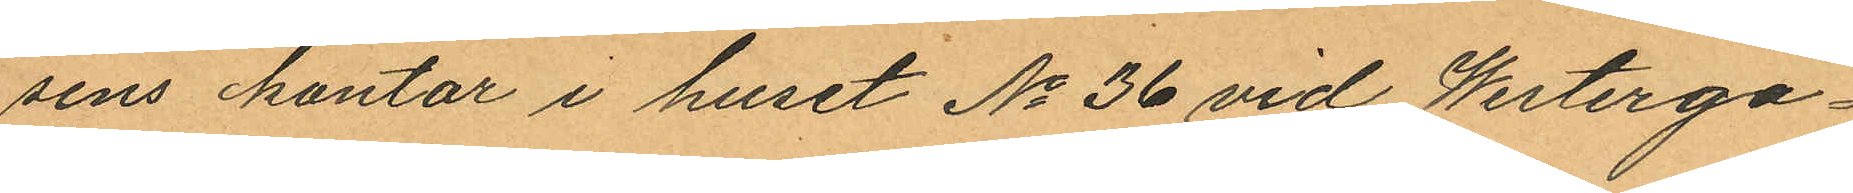sens kontor i huset No 36 vid Westerga¬
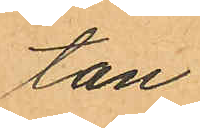tan
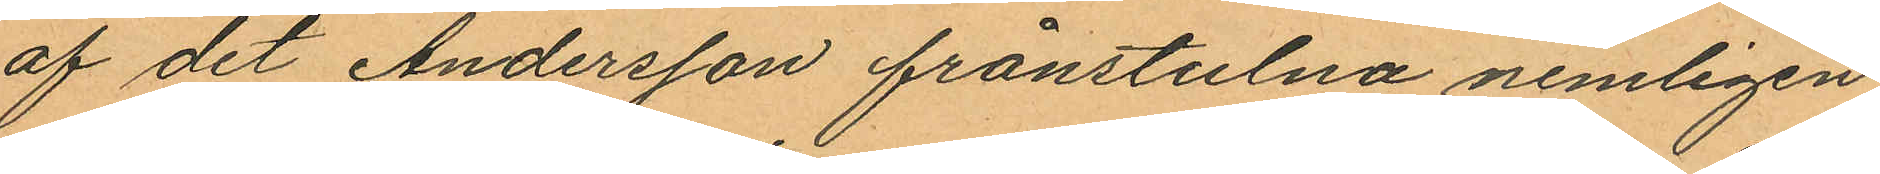af det Andersson frånstulna nemligen
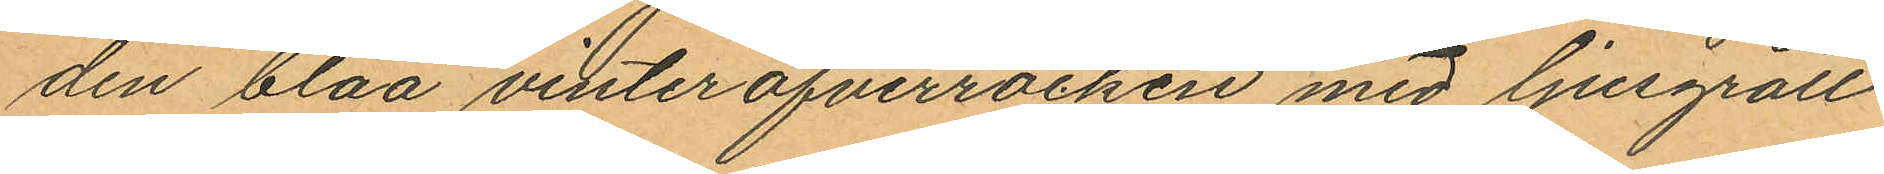den blåa vinteröfverrocken med ljusgrått
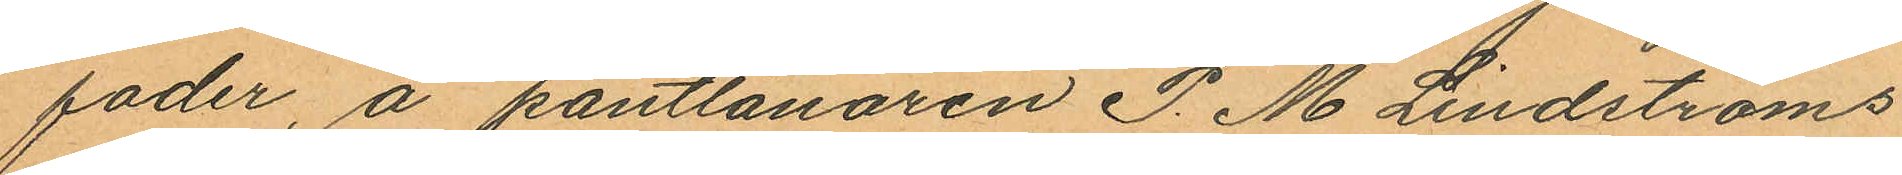foder, å pantlånaren P. M. Lindströms
